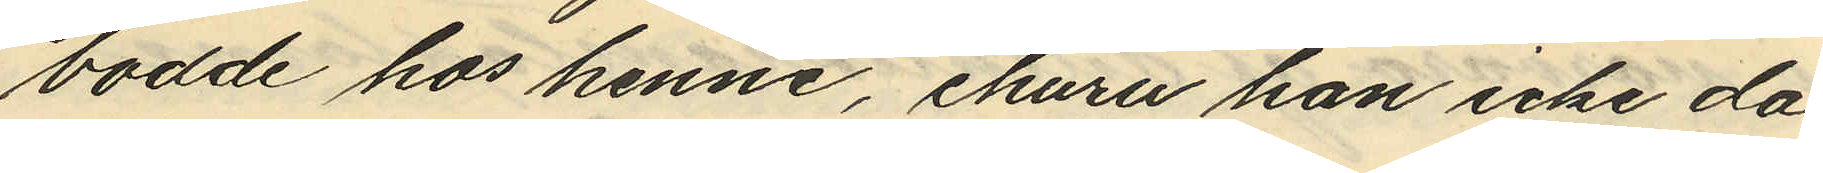bodde hos henne, ehuru han icke da
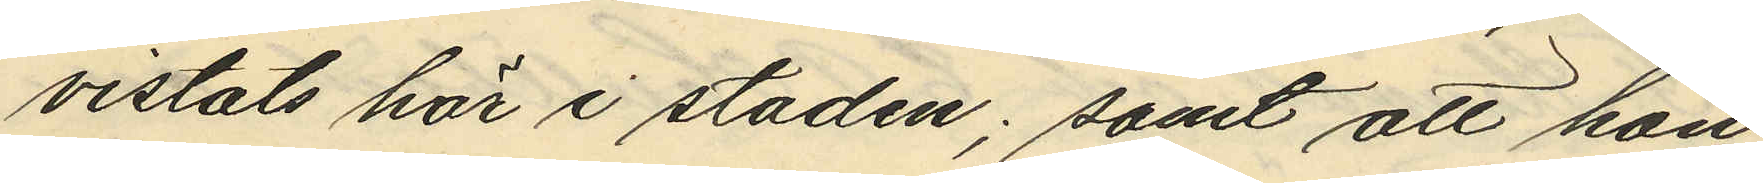vistats här i staden; samt att hon
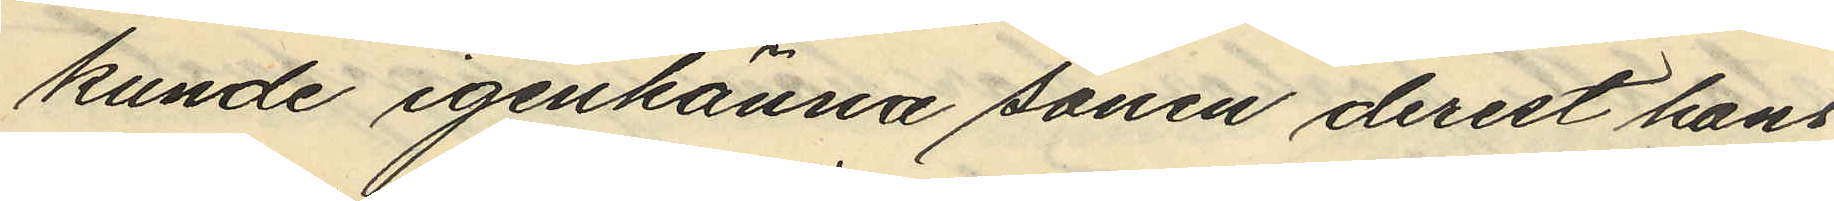kunde igenkänna sonen derest hans
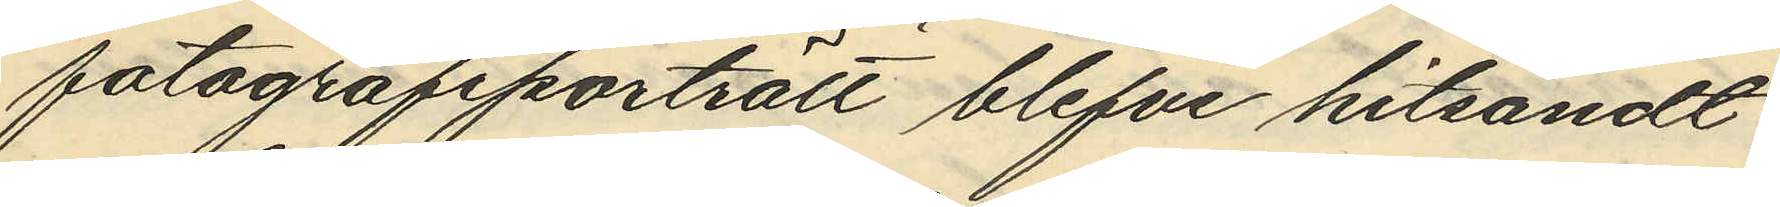fotografiporträtt blefve hitsändt.
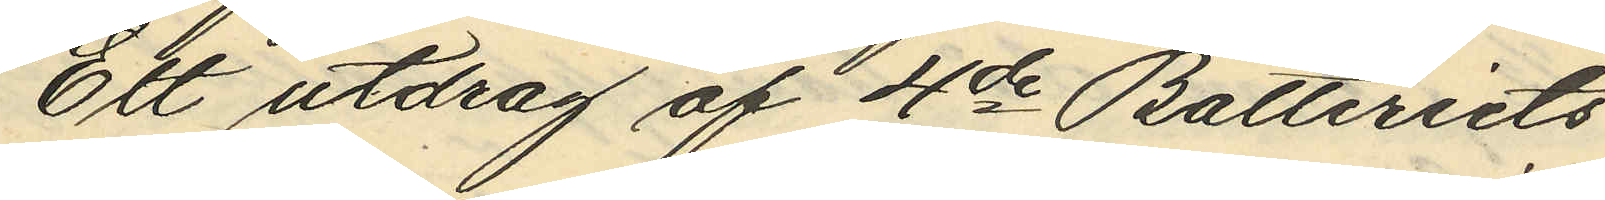Ett utdrag af 4de Batteriets
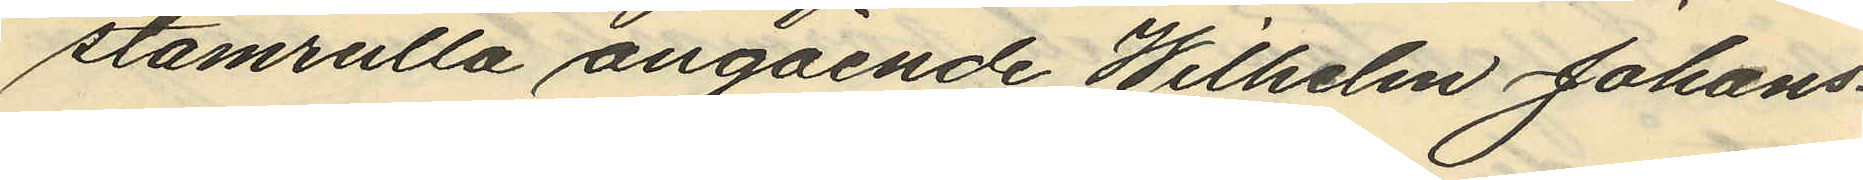stamrulla angående Wilhelm Johans¬
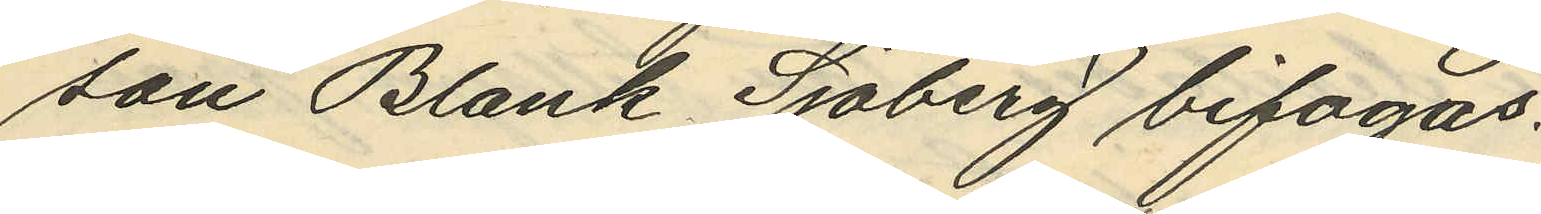son Blank Sjöberg bifogas.
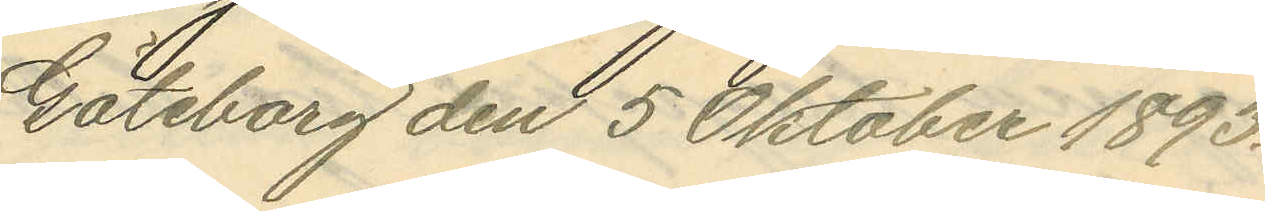Göteborg den 5 Oktober 1893.
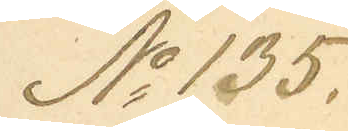No 135.
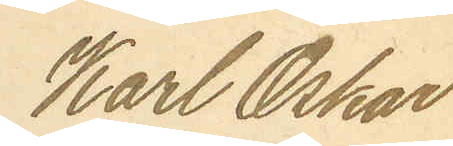Karl Oskar
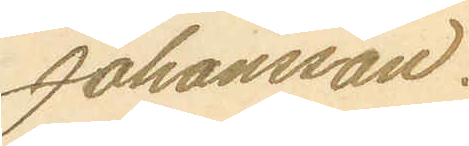Johansson.
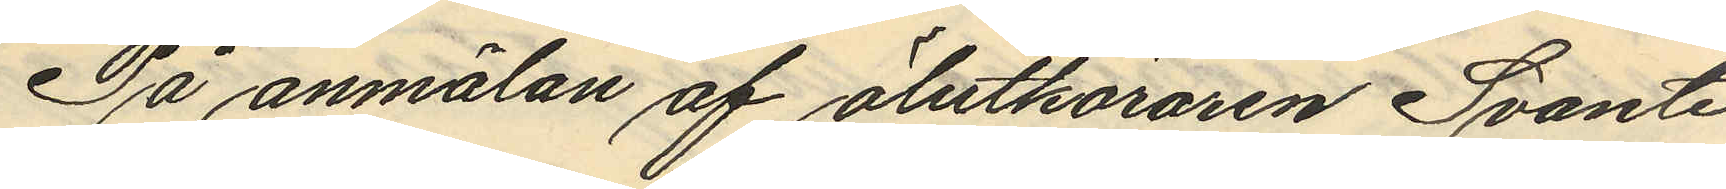På anmälan af ölutköraren Svante
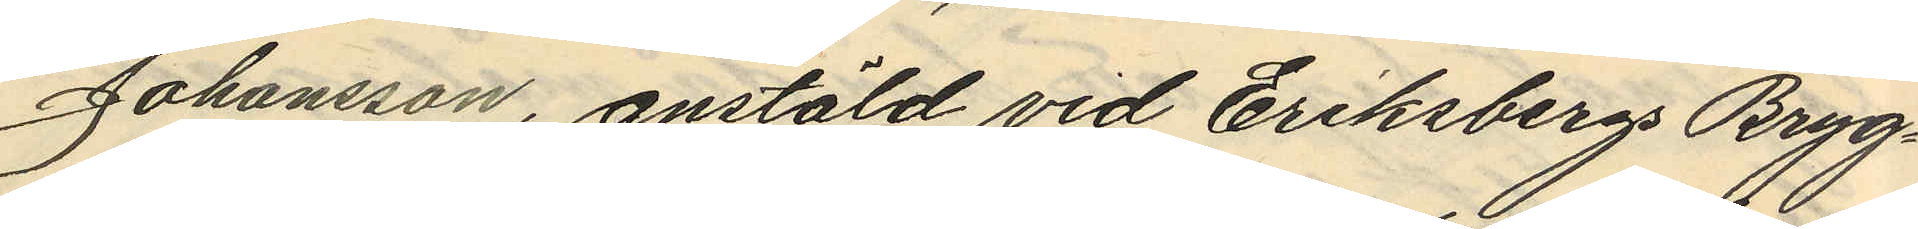Johansson, anstäld vid Eriksbergs Bryg¬
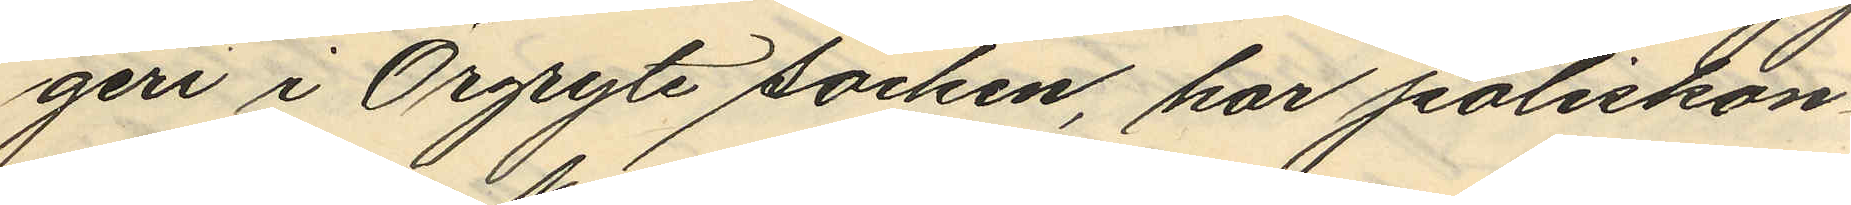geri i Örgryte socken, har poliskon¬
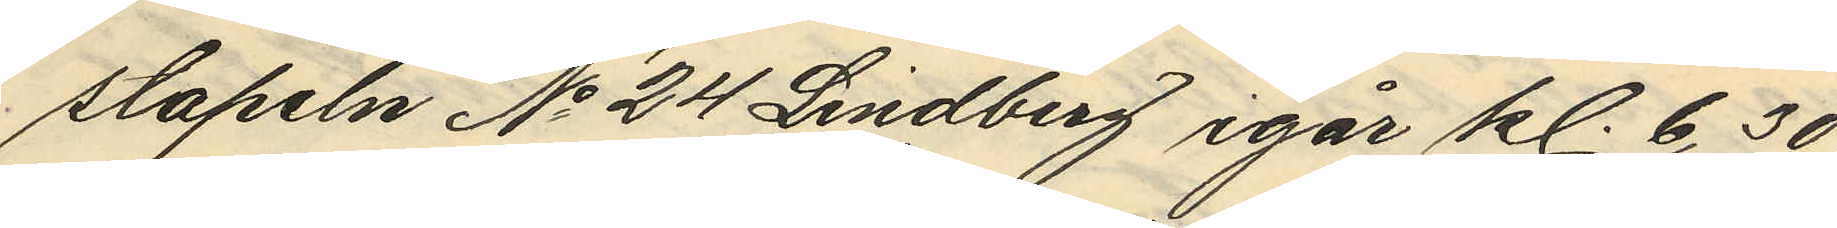stapeln No 24 Lindberg igår kl. 6,30
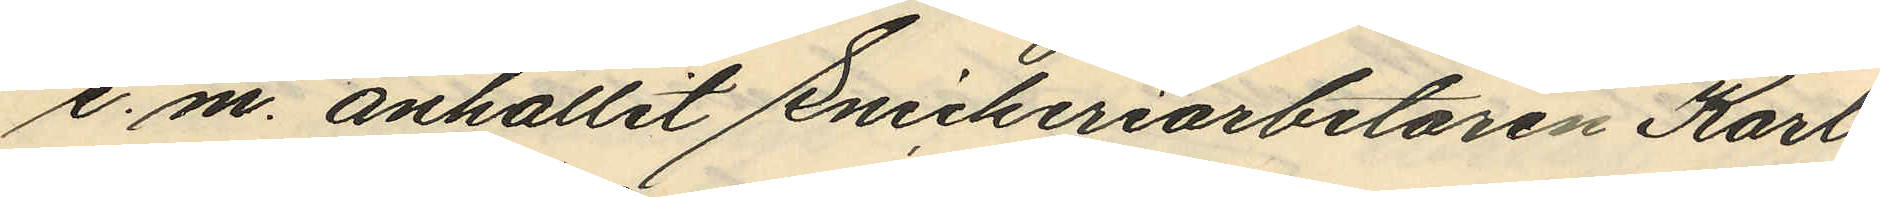e. m. anhållit Snickeriarbetaren Karl
